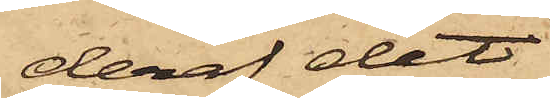deraf det
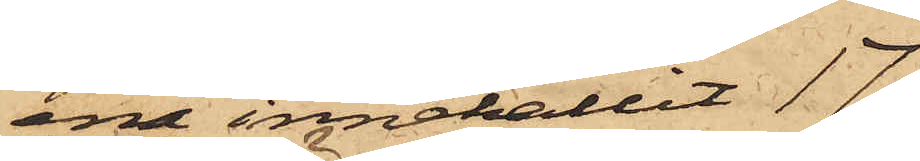ena innehållit 17
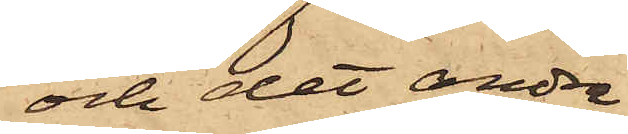och det andra
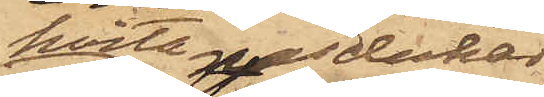hvita näsdukar,
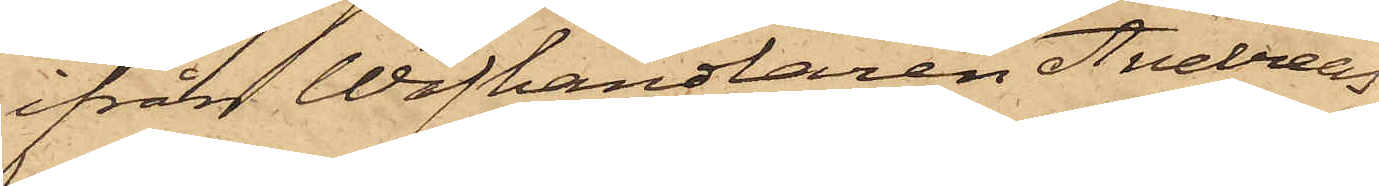ifrån Wäfhandlaren Andreas
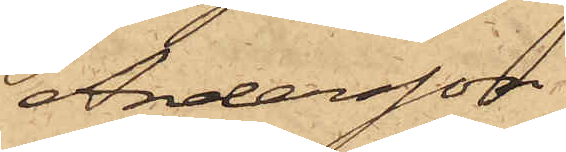Andersson
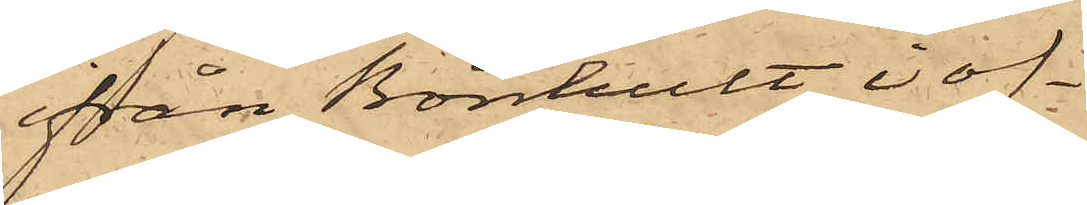ifrån Bönhult i of¬
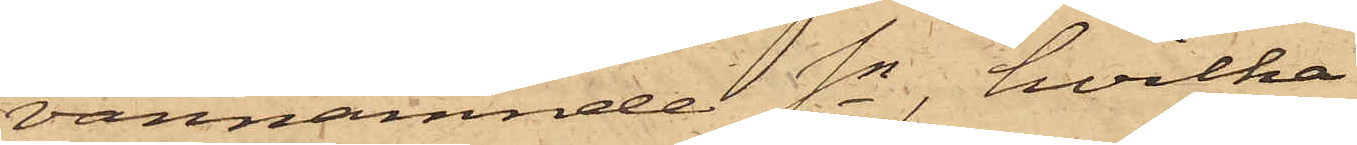vannämnde Sn, hvilka
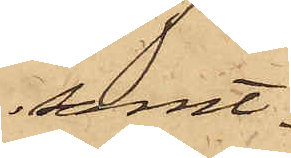samt¬
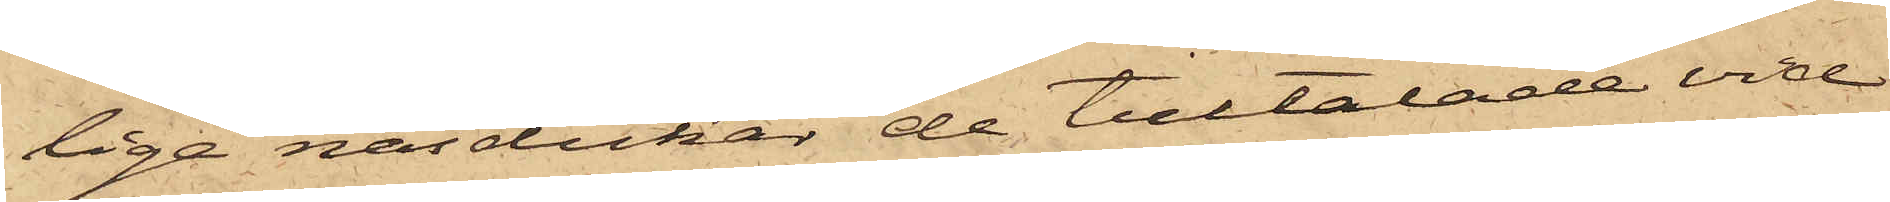lige näsdukar de tilltalade vid
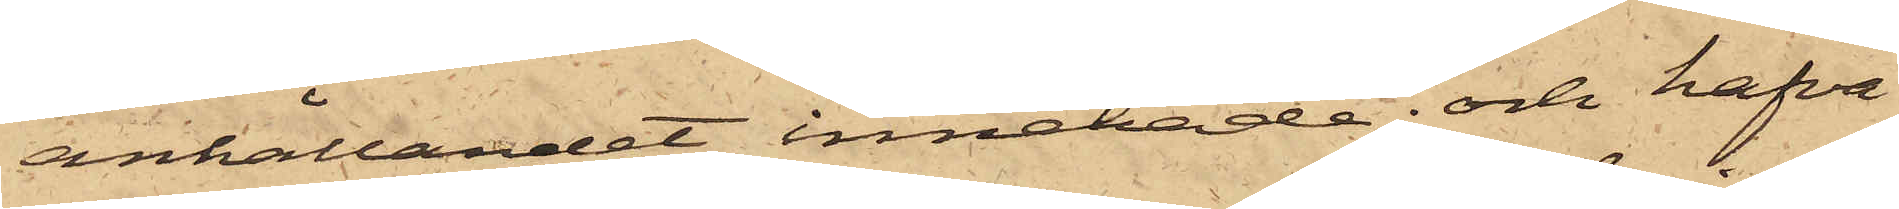anhållandet innehade; och hafva
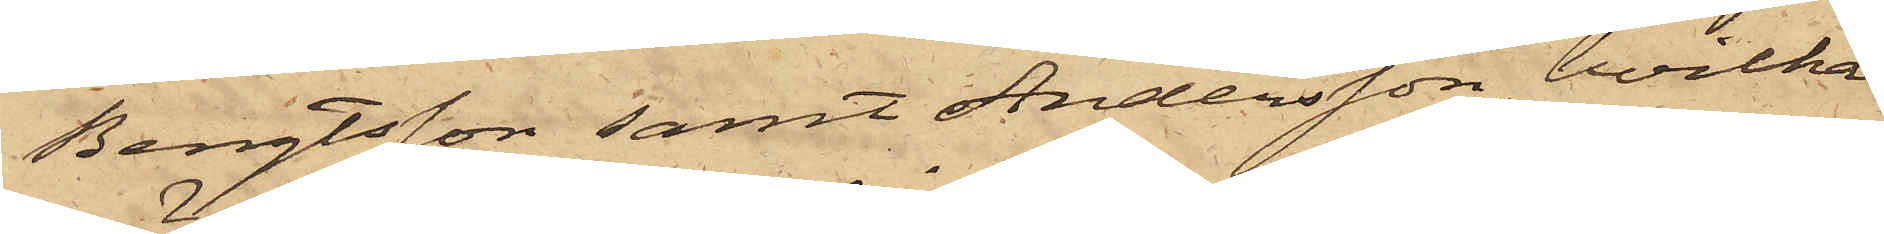Bengtsson samt Andersson, hvilka
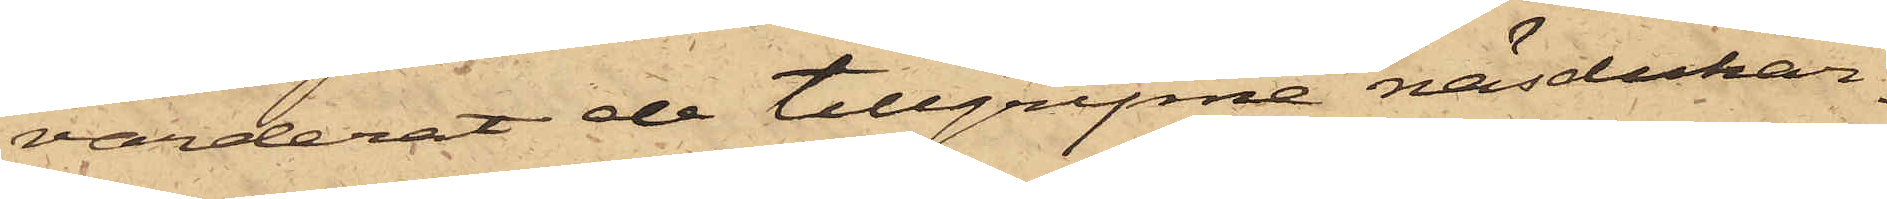värderat de tillgripne näsdukar¬
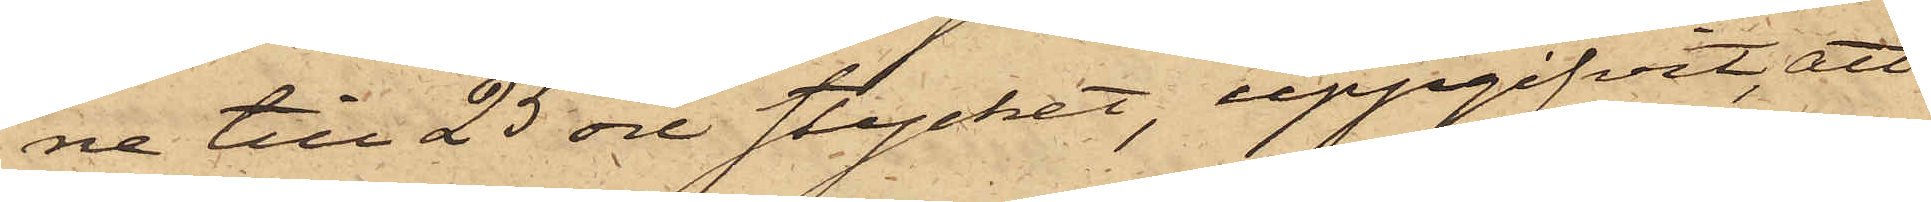ne till 25 öre stycket, uppgifvit, att
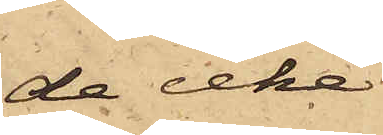de icke
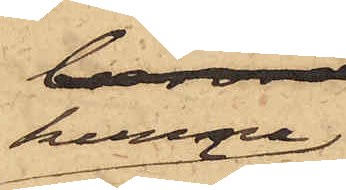kunna
